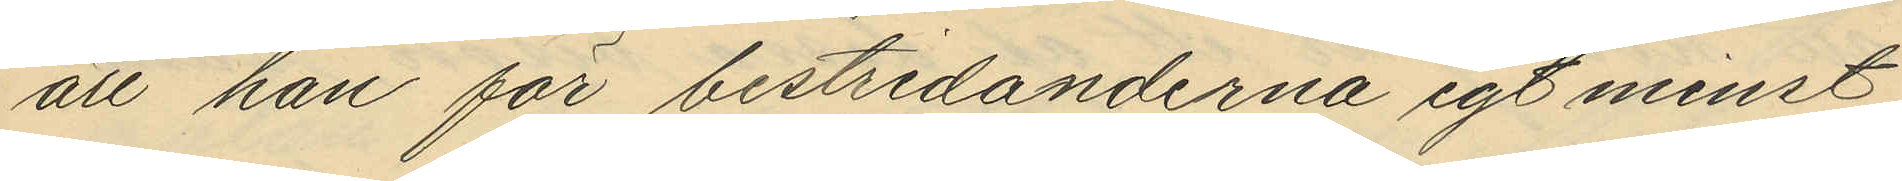att han för bestridanderna egt minst
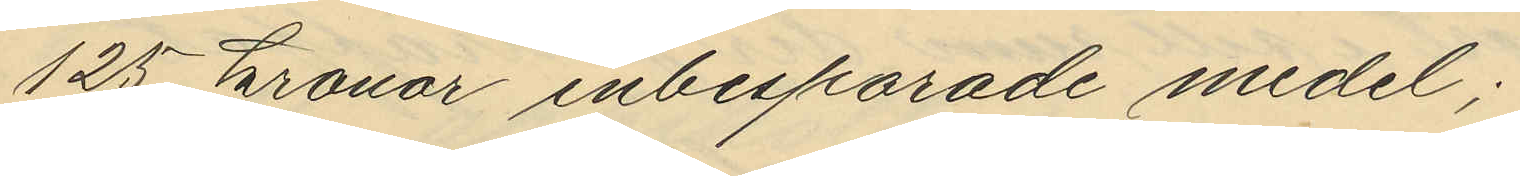125 kronor inbesparade medel;
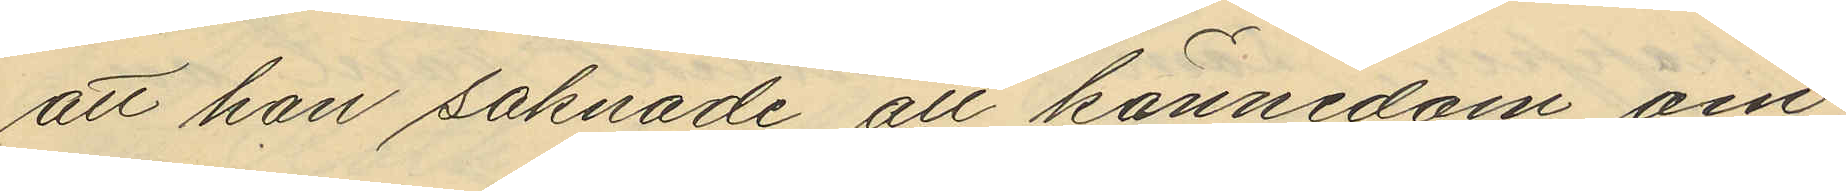att han saknade all kännedom om
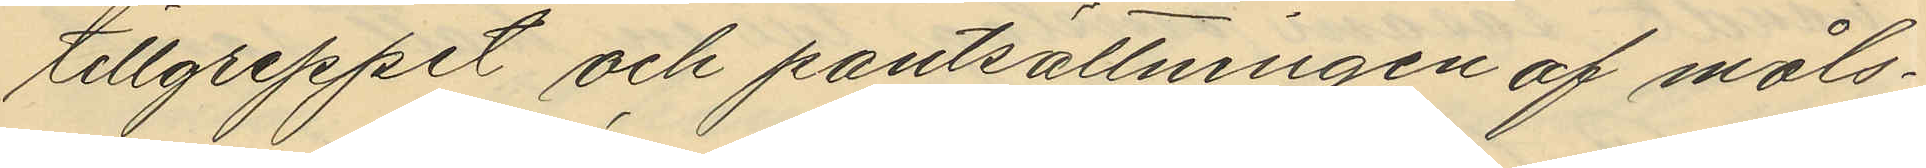tillgreppet och pantsättningen af måls¬
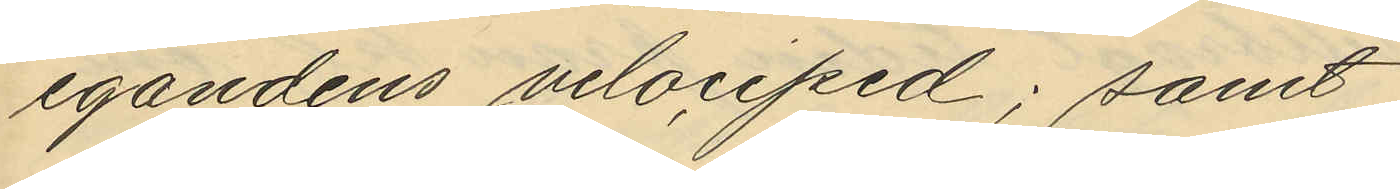egandens velociped; samt
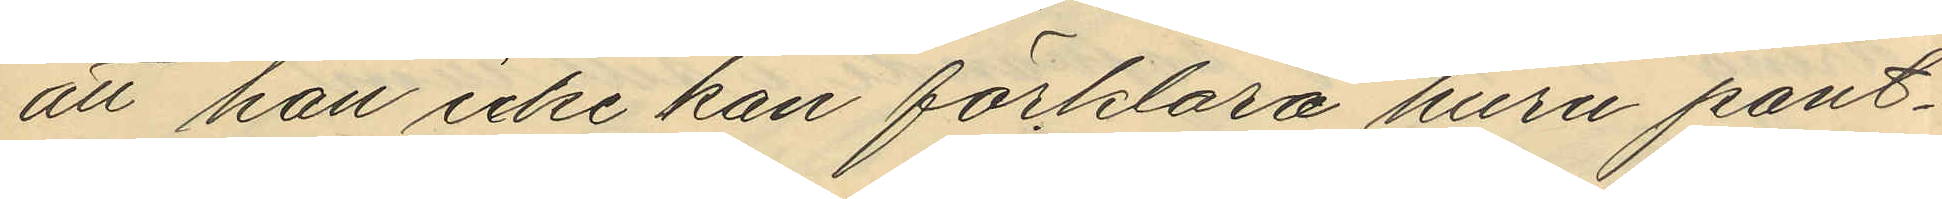att han icke kan förklara huru pant¬
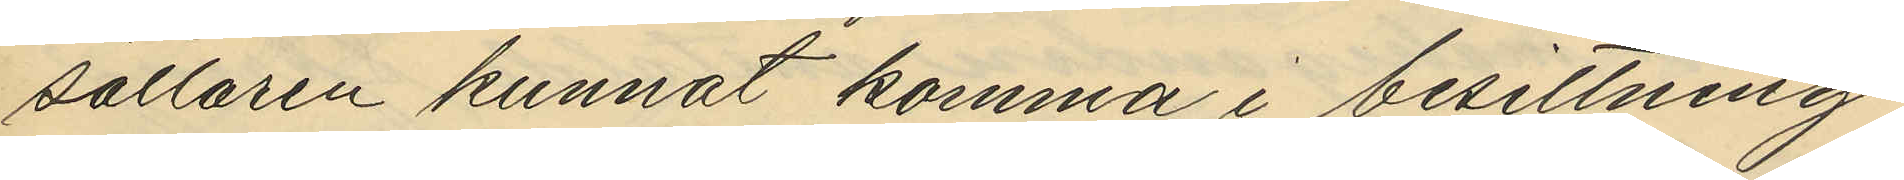sättaren kunnat komma i besittning
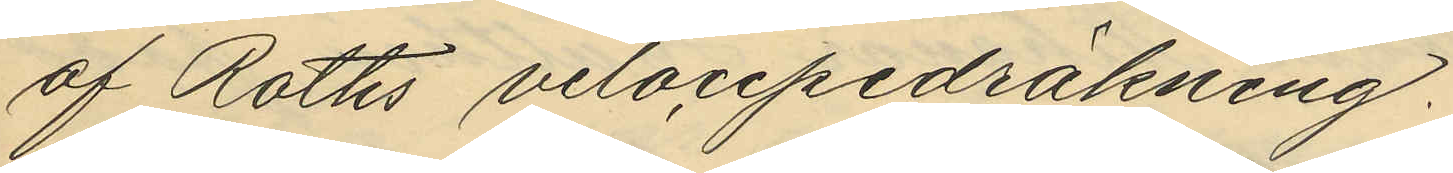af Roths velocipedräkning.
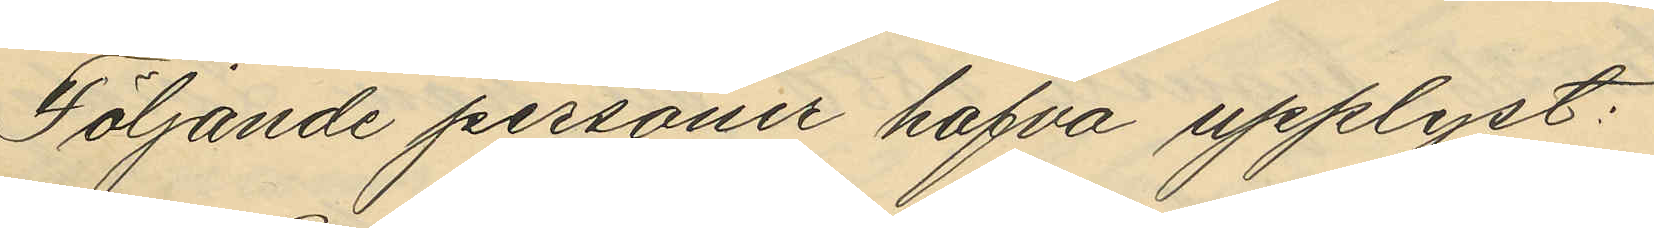Följande personer hafva upplyst:
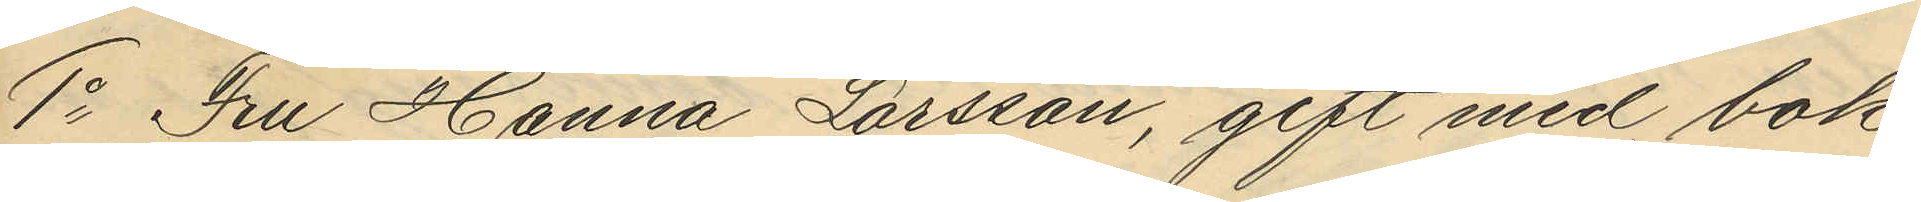1o Fru Hanna Larsson, gift med bok¬
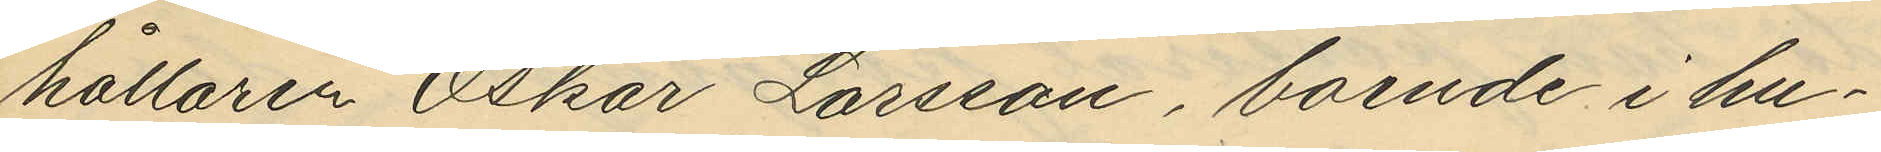hållaren Oskar Larsson, boende i hu¬
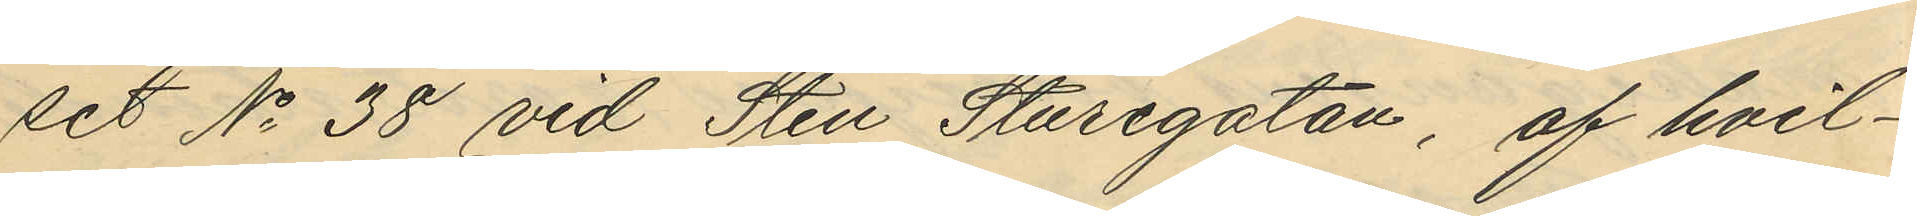set No 38 vid Sten Sturegatan, af hvil¬
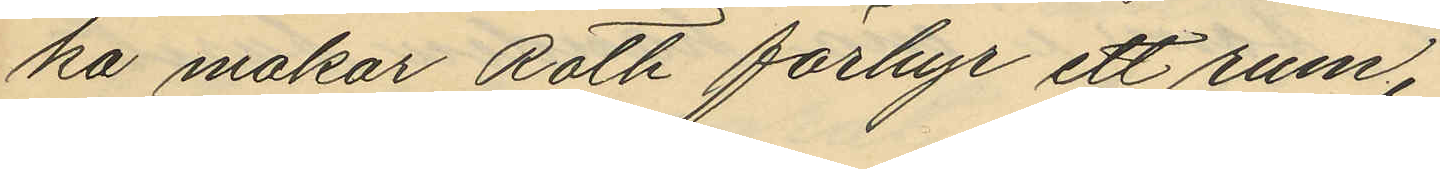ka makar Roth förhyr ett rum,
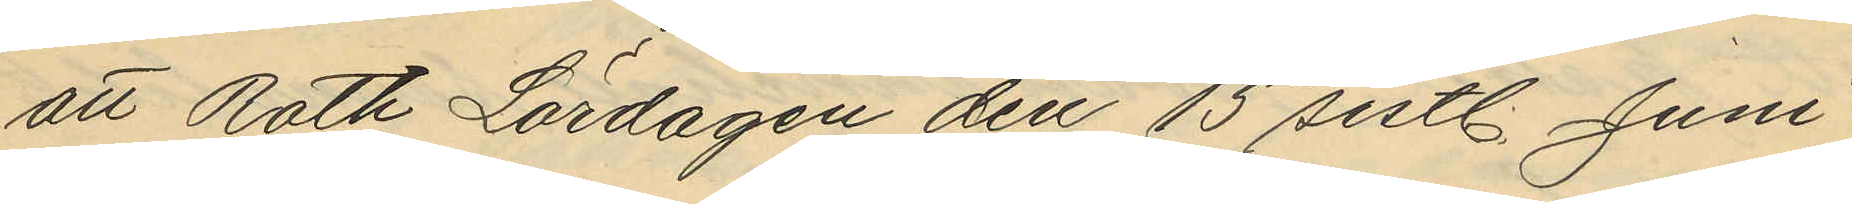att Roth Lördagen den 15 sistl. Juni
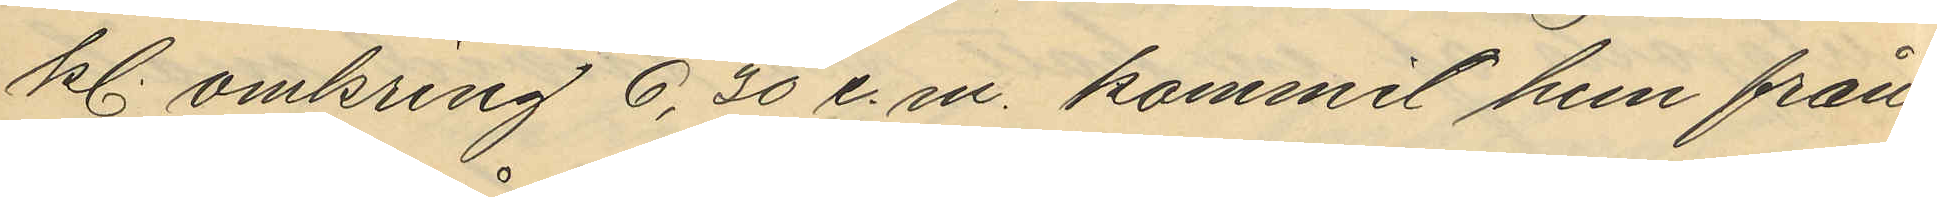kl. omkring 6,30 e.m. kommit hem från
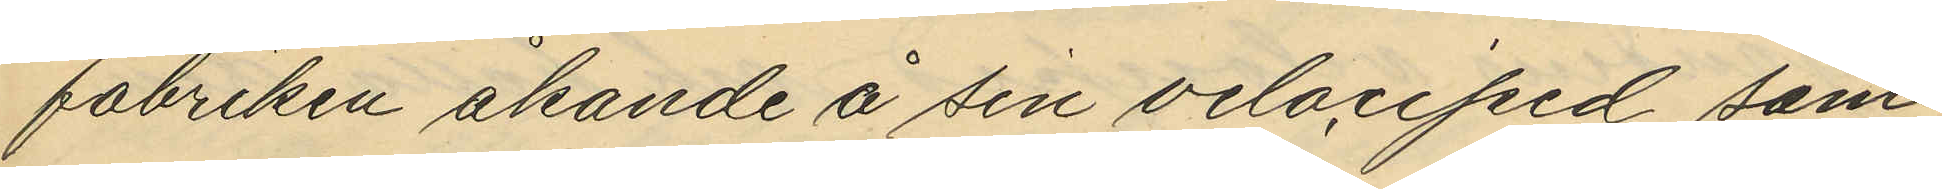fabriken åkande å sin velociped, som
